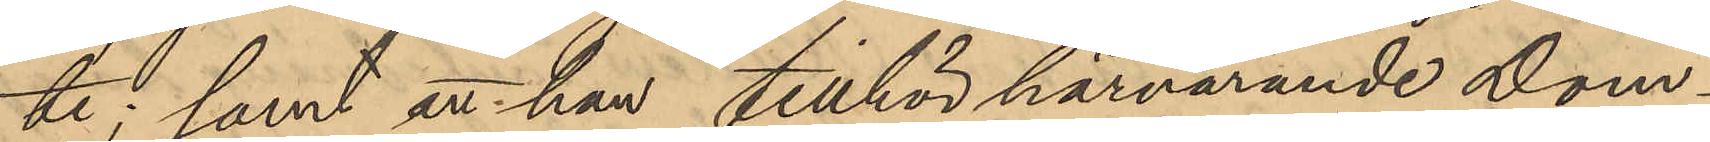te; samt att han tillhör härvarande Dom¬
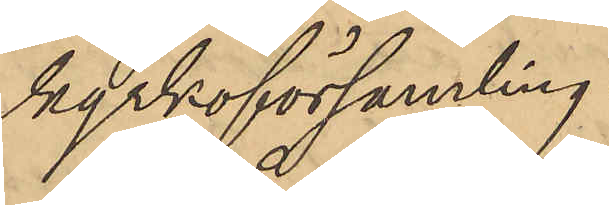kyrkoförsamling.
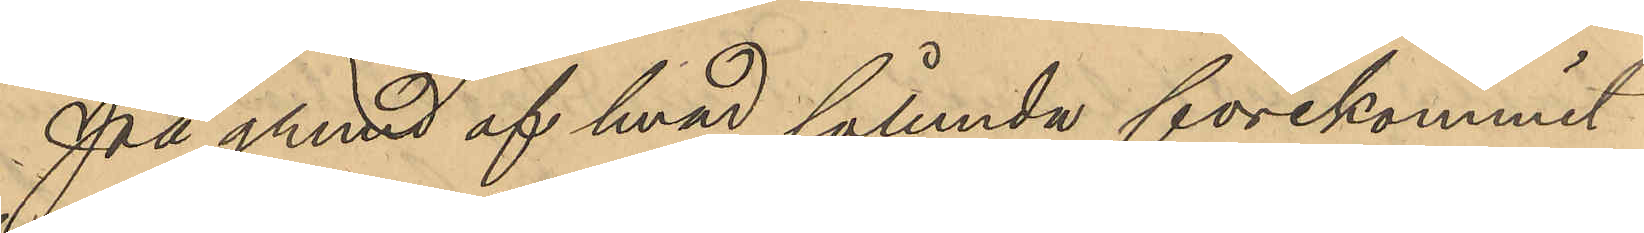På grund af hvad sålunda förekommit
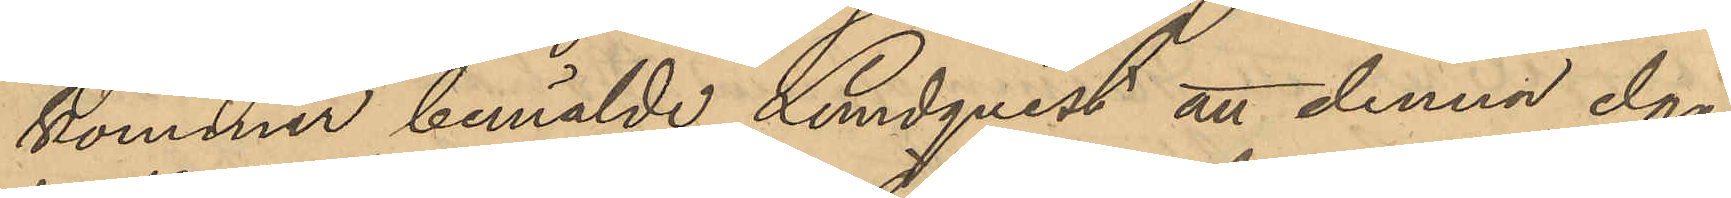kommer bemälde Lundqvist att denna dag
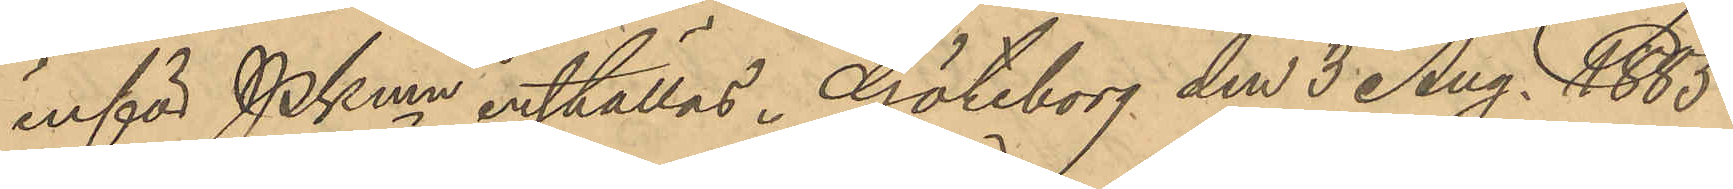inför Pkmn inställas. Göteborg den 3 Aug. 1885.
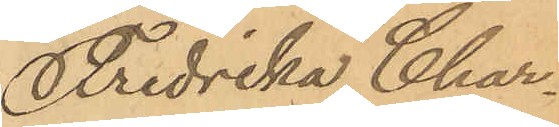Fredrika Char¬
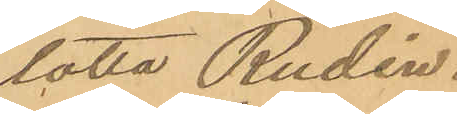lotta Rudén.
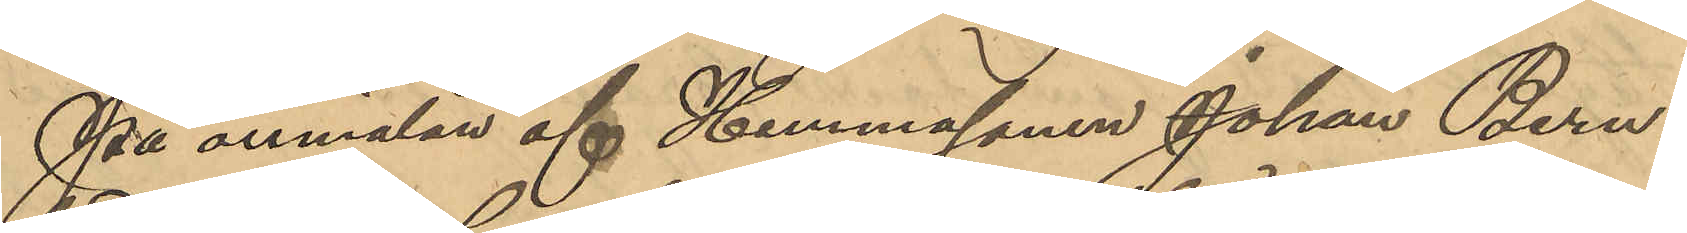På anmälan af Hemmasonen Johan Bern¬
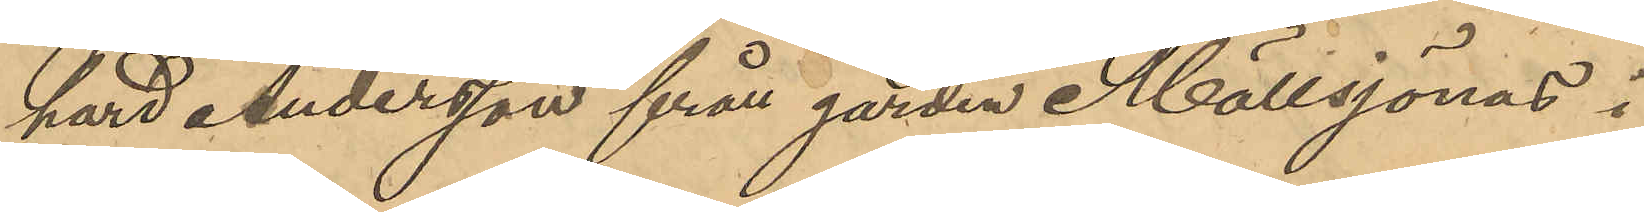hard Andersson från gården Möllsjönas i
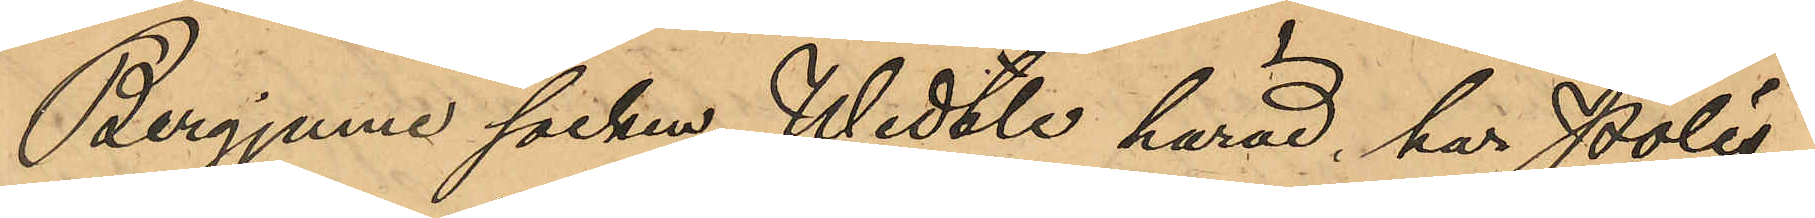Bergjums socken Wedtle härad, har Polis¬
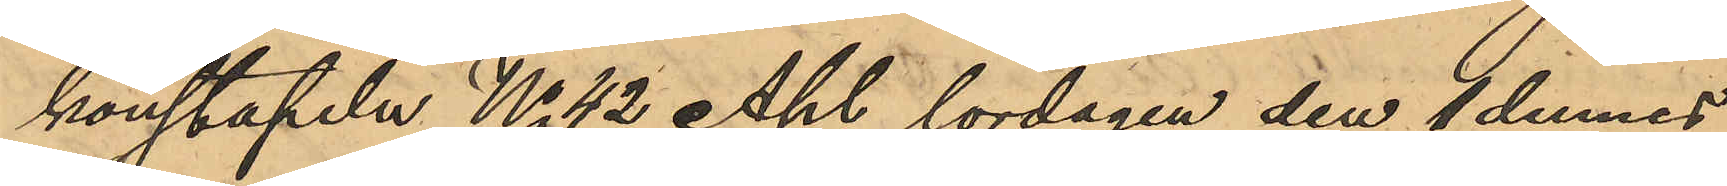konstapeln No 42 Ahl lördagen den 4 dennes
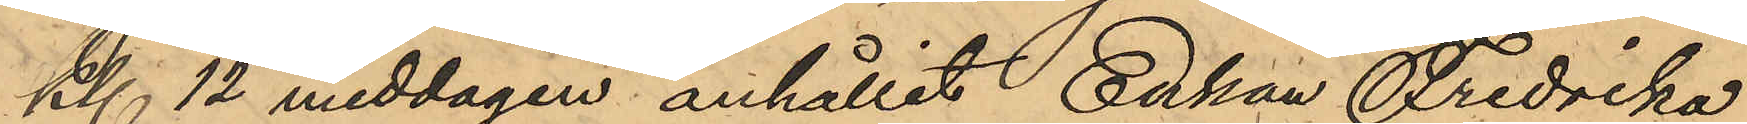kl. 12 middagen anhållit Enkan Fredrika
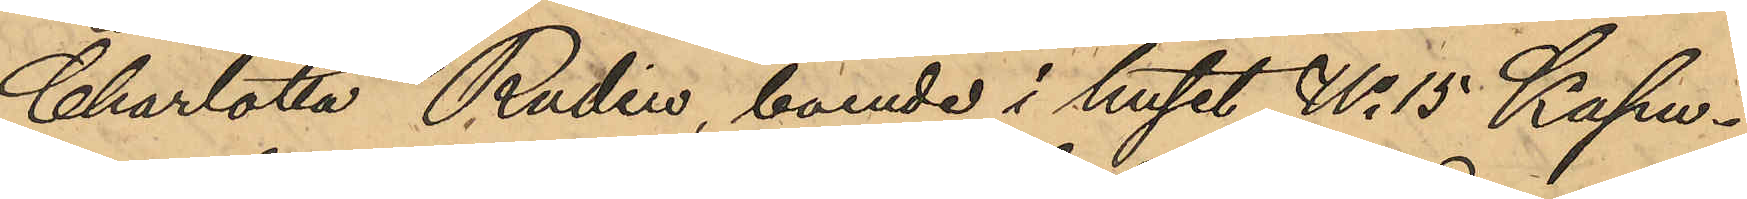Charlotta Rudin, boende i huset No 15 Kapu¬
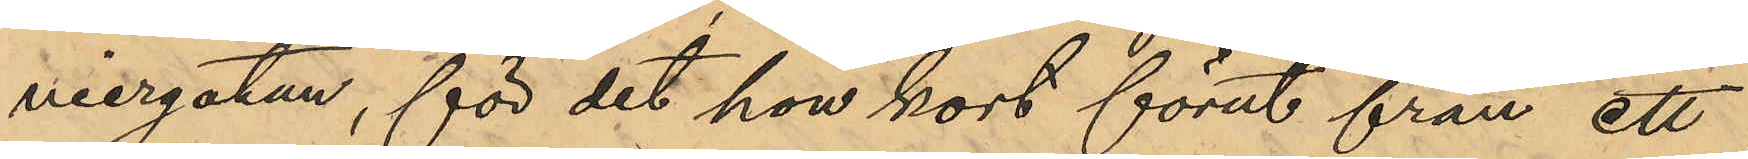niergatan, för det hon kort förut från ett
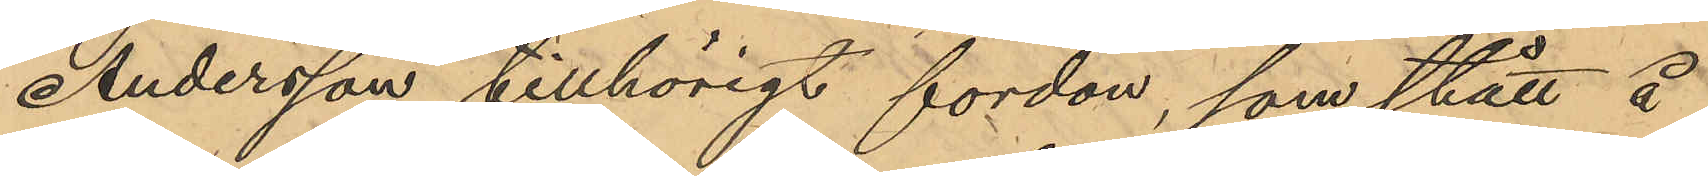Andersson tillhörigt fordon, som stått å
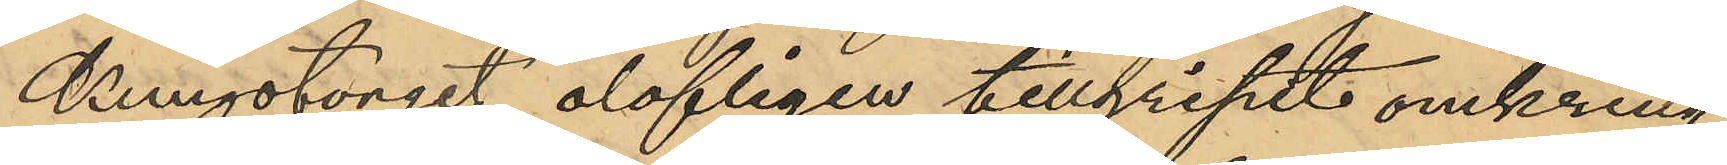Kungstorget olofligen tillgripit omkring
